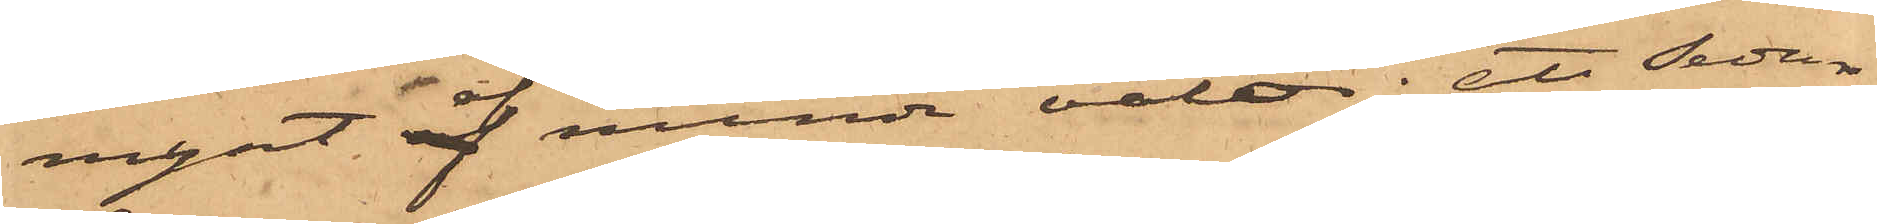mynt af mindre valör; att sedan
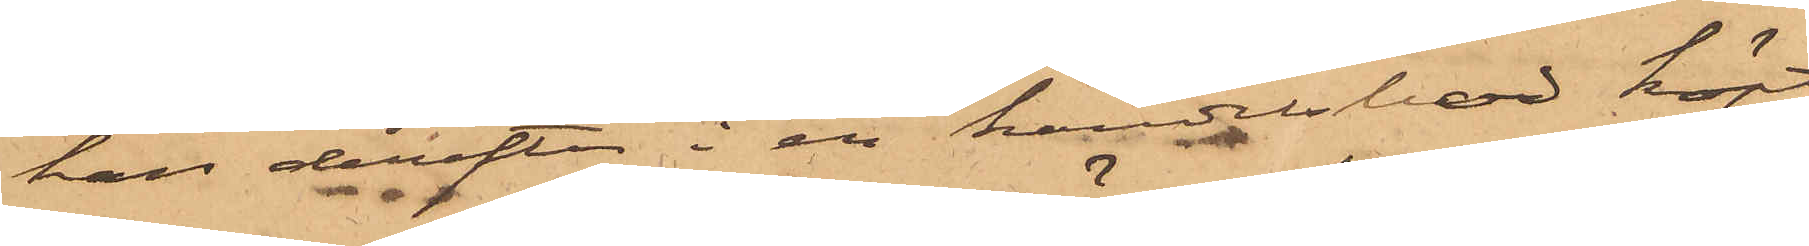han derefter i en handelsbod köpt
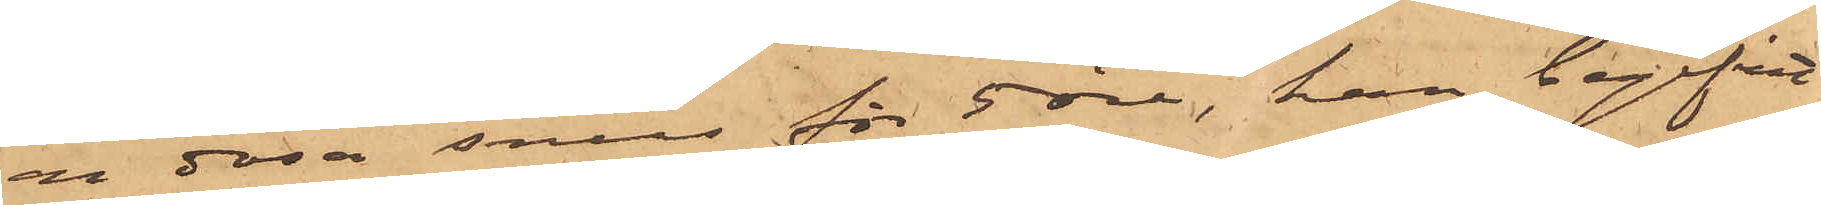en dosa snus för 5 öre, han begifvit
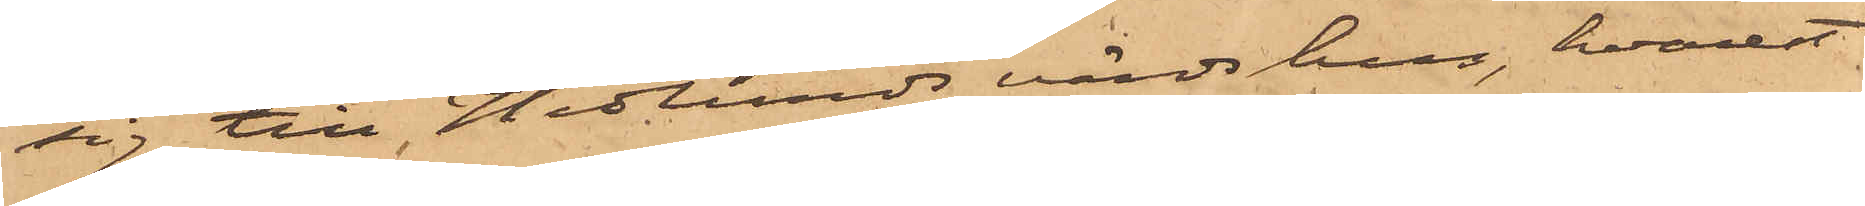sig till Hedlunds värdshus, hvarest
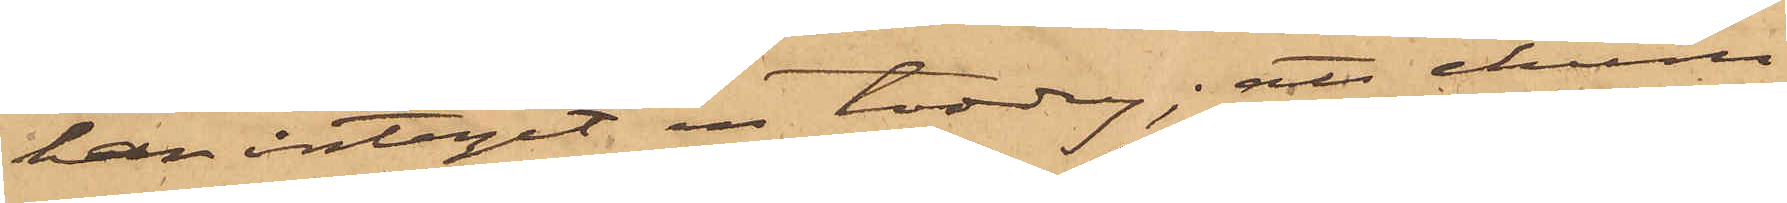han intagit en toddy; att ehuru
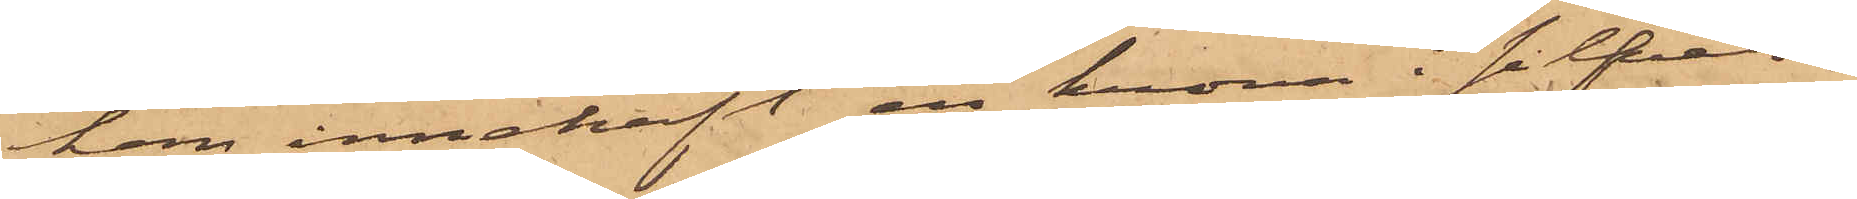han innehaft en krona i silfver¬
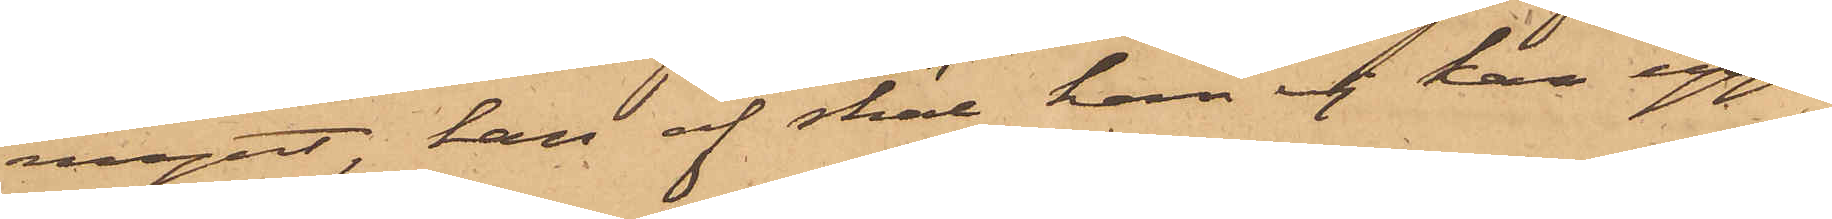mynt, han af skäl han ej kan upp¬
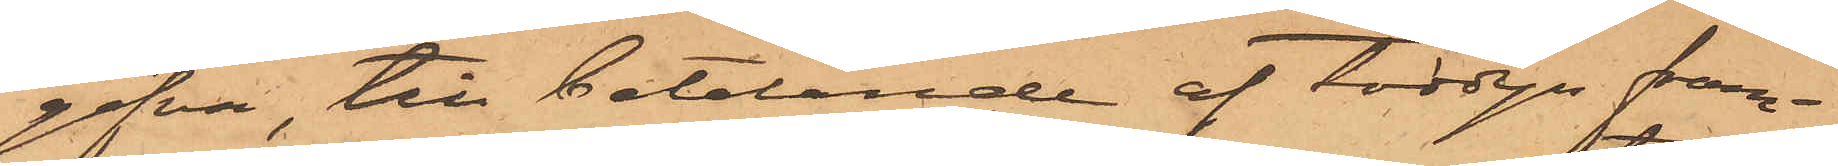gifva, till betalande af toddyn fram¬
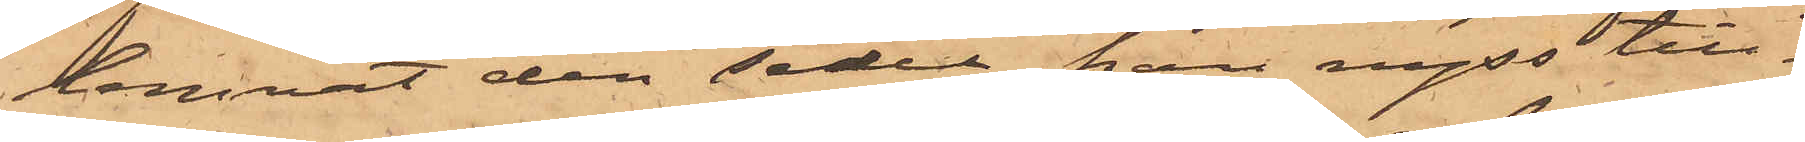lemnat den sedel, han nyss till¬
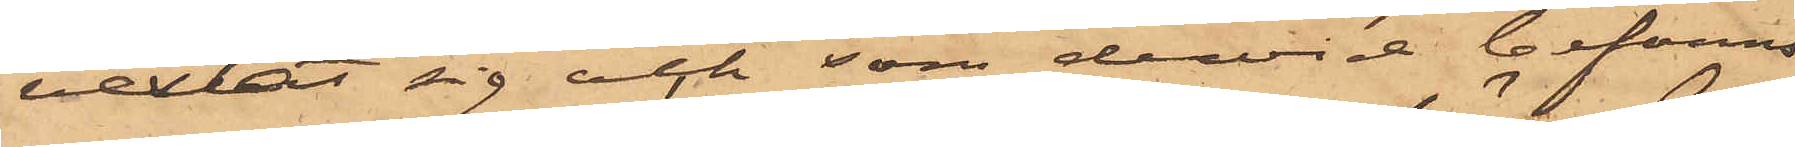vexlat sig och som dervid befanns
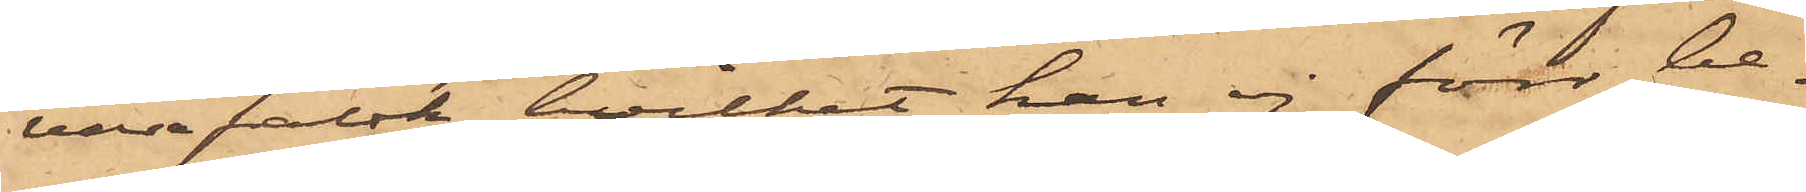vara falsk, hvilket han ej förr be¬
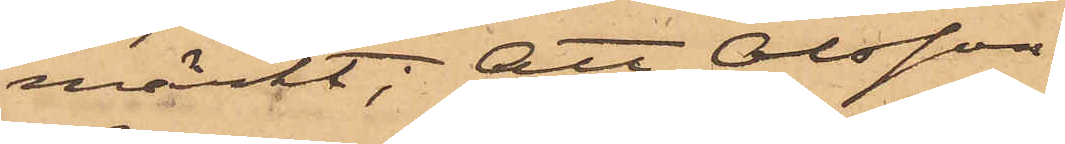märkt; att Olsson
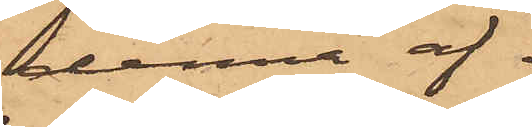denna af¬
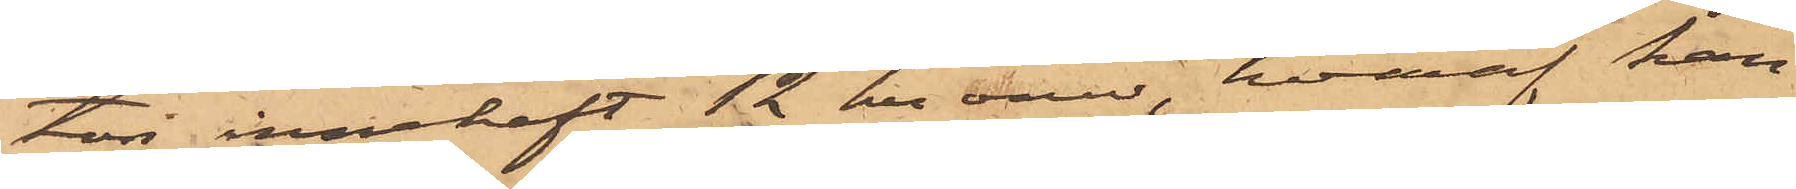ton innehaft 12 kronor, hvaraf han
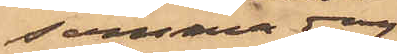samma dag
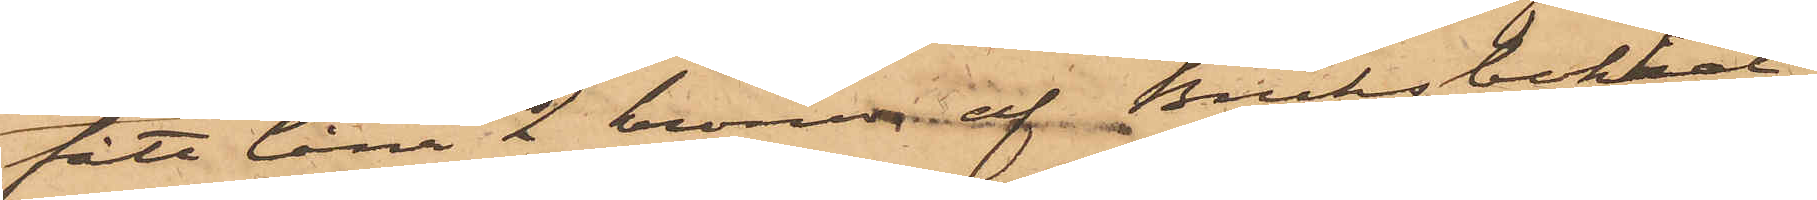fått låna 2 kronor af Bruksbokhål¬
